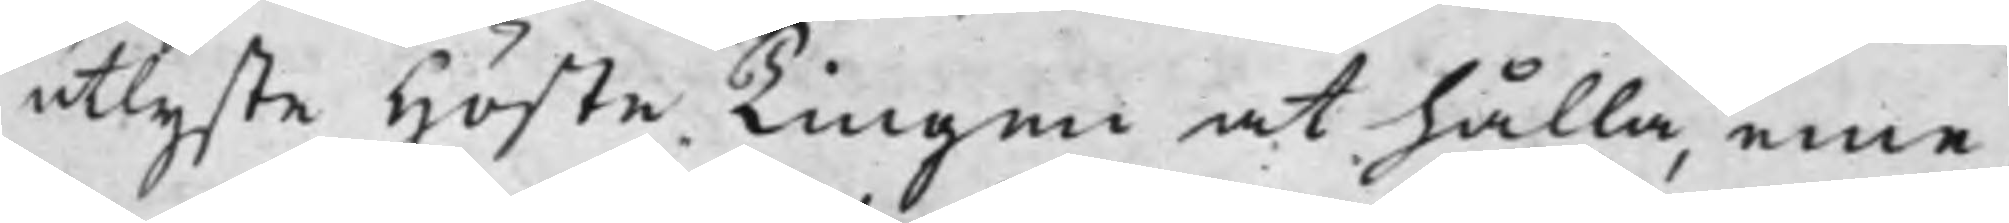utlyste Höste Tingen at hålla, eme¬
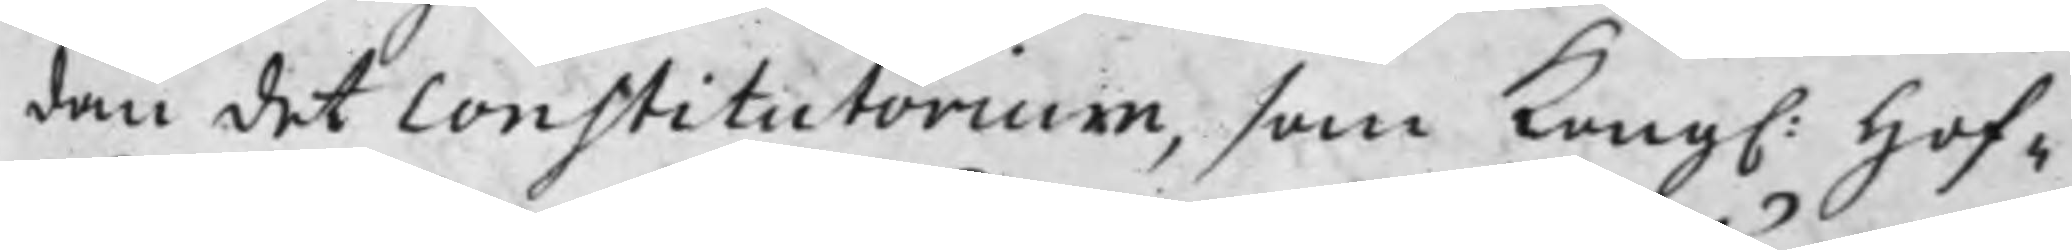dan det Constitutorium, som Kong. Hof¬
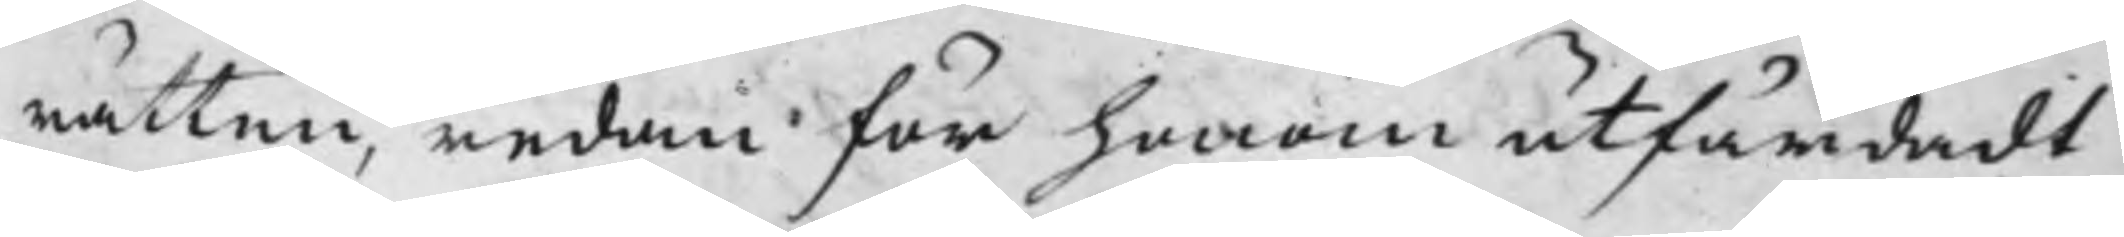rätten, redan för honom utfärdadt
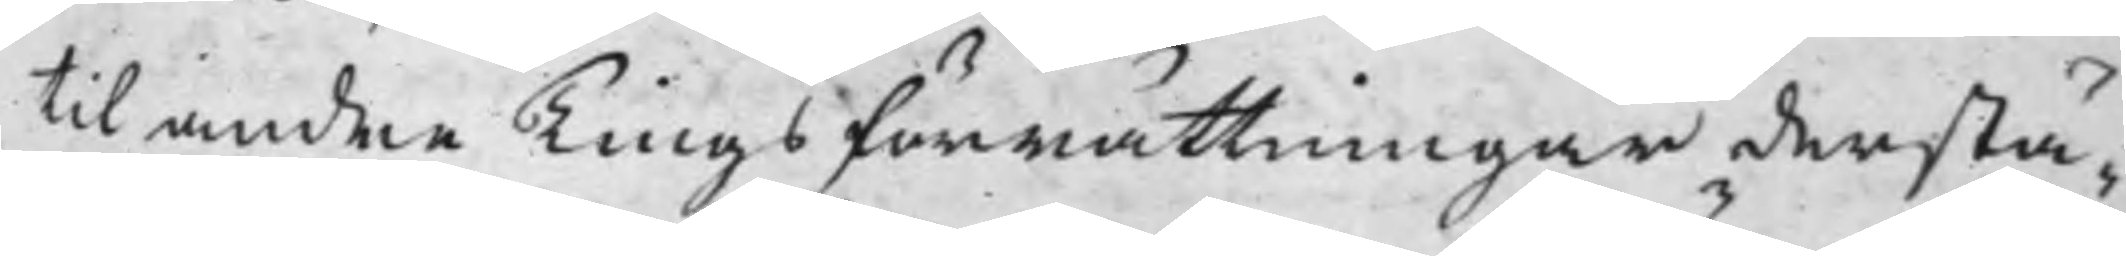til andra Tingsförrättningar derstä¬
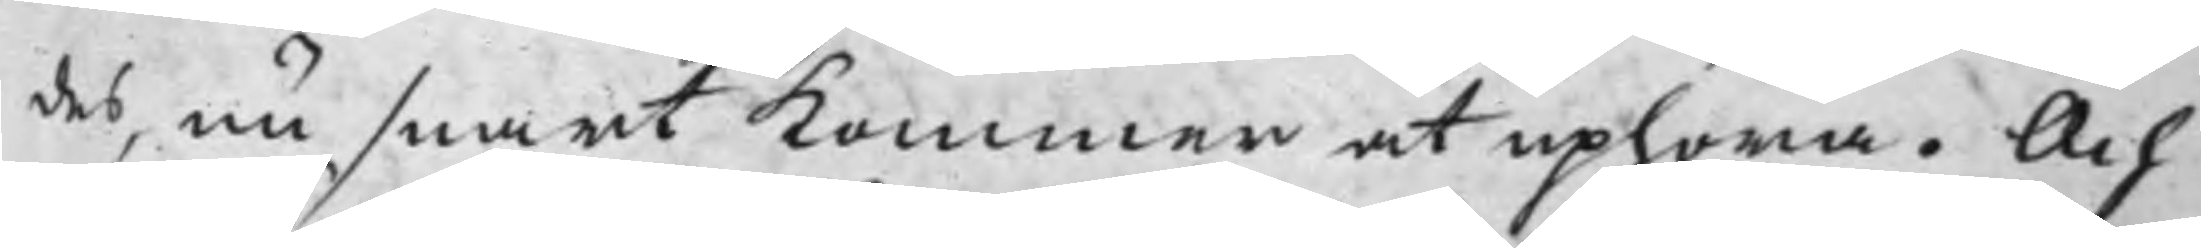des, nu snart kommer att uphöra. Och
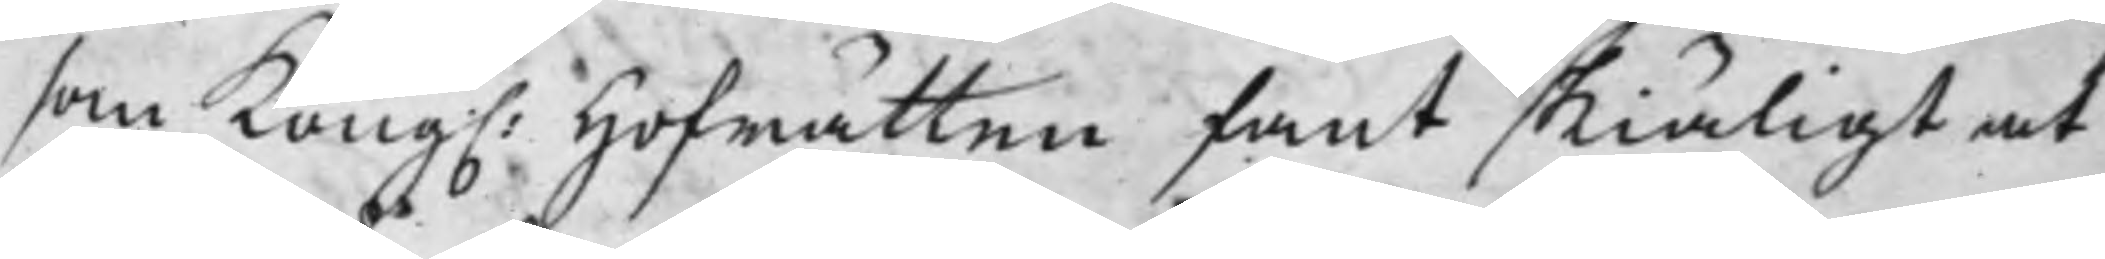som Kong. Hofrätten fant skiäligt at
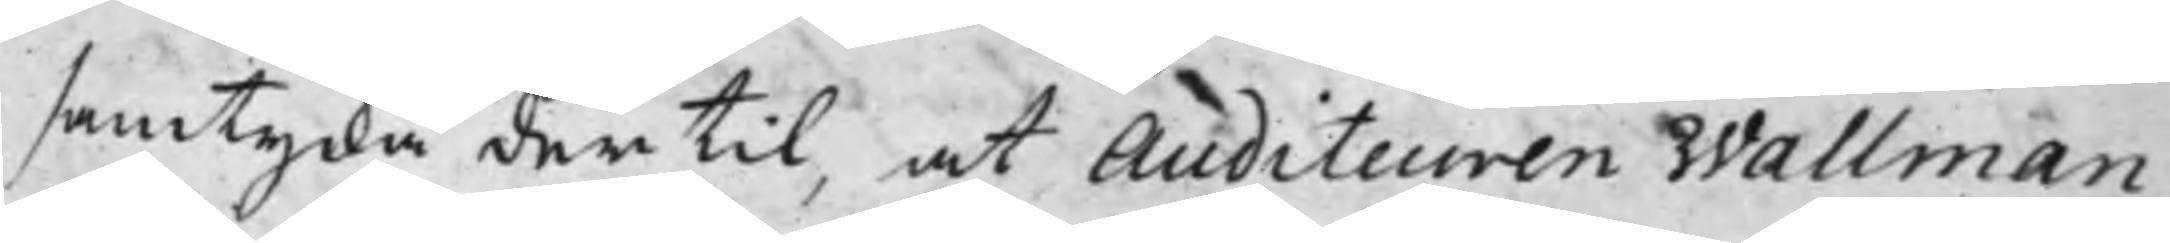samtycka dertil, at Auditeuren Wallman,
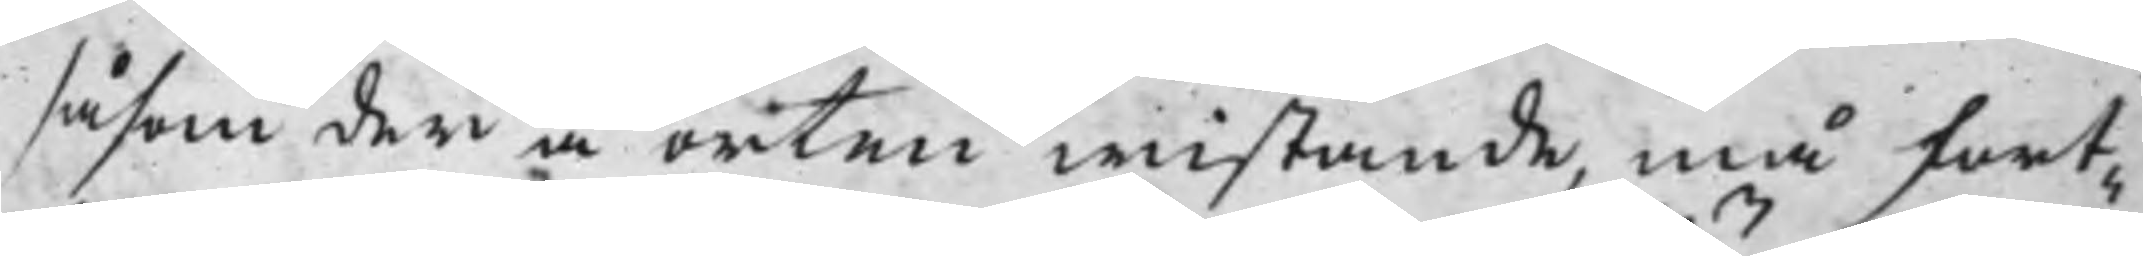såsom der å orten wistande, må fort¬
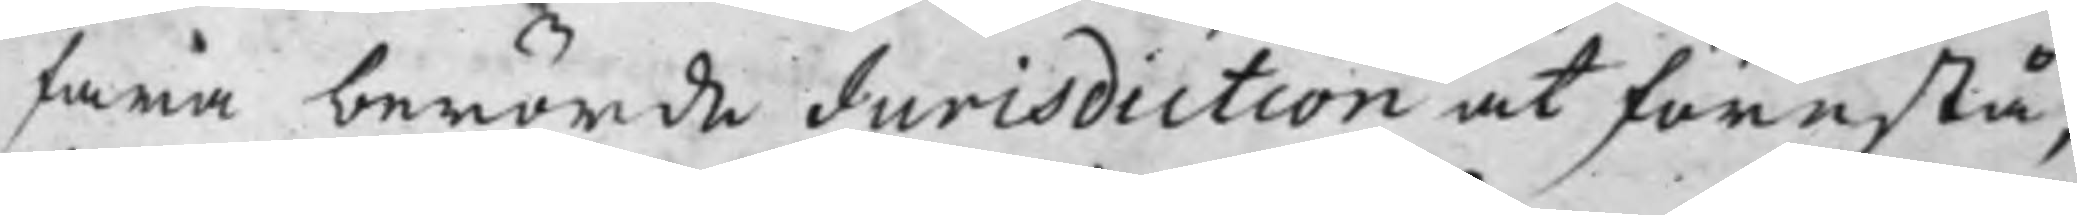fara berörde Jurisdiction at förestå,
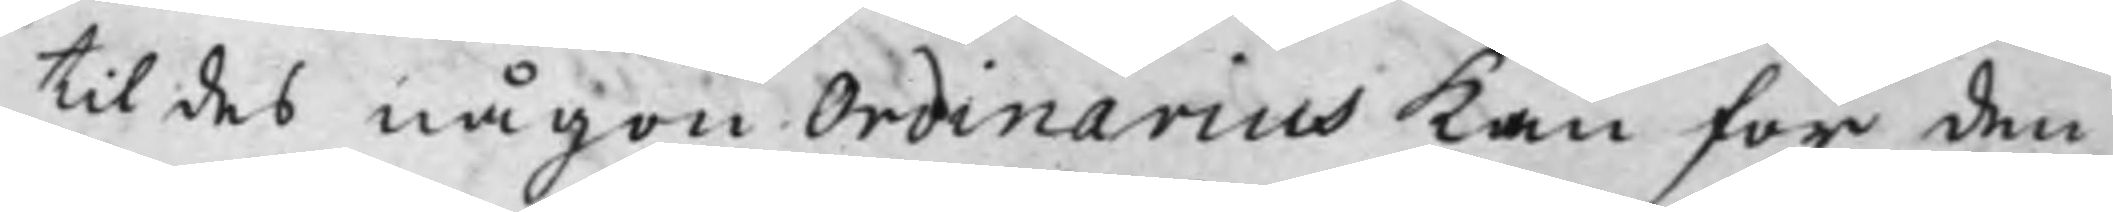til des någon Ordinarius kan för den
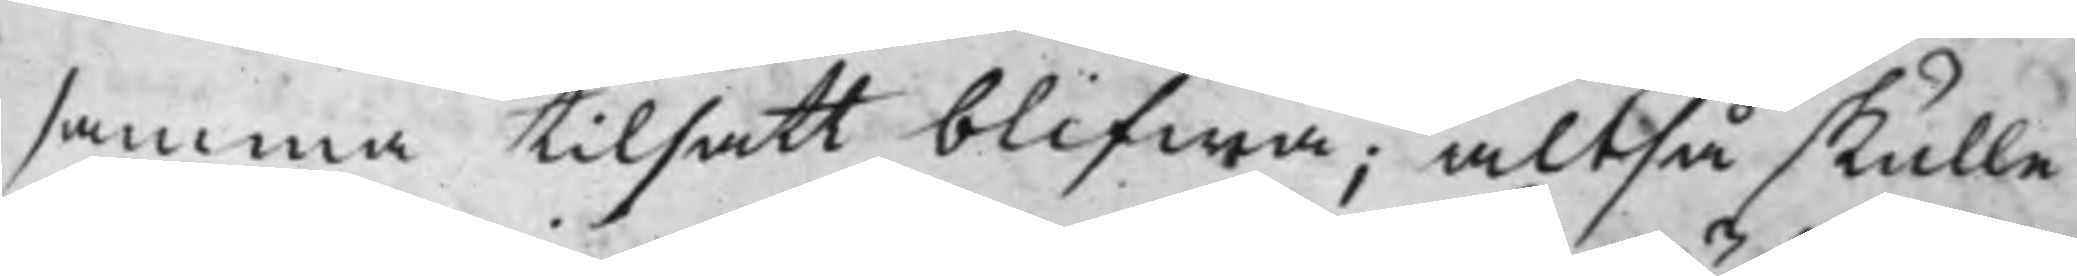samma tilsatt blifwa; altså skulle
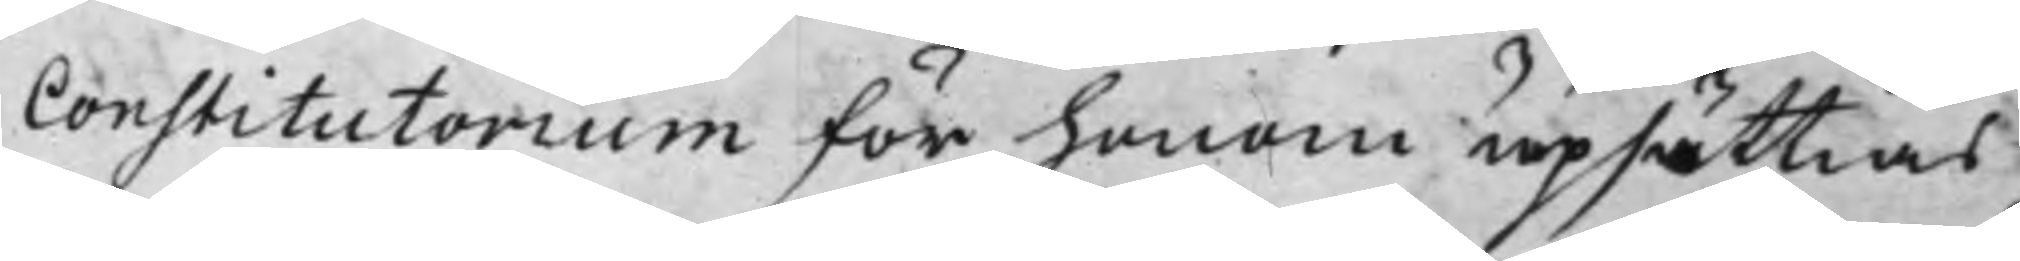Constitutorium för honom upsättias
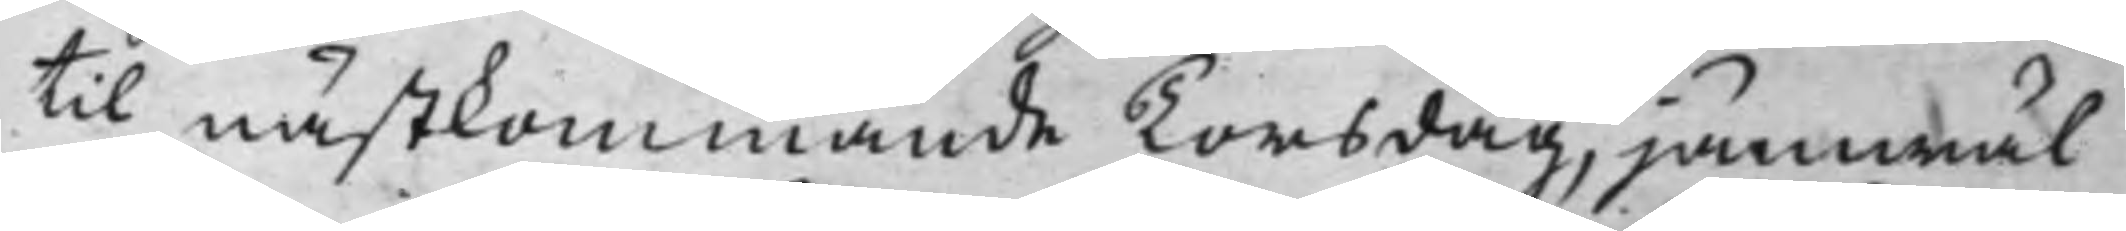til nästkommande Torsdag, jämwäl
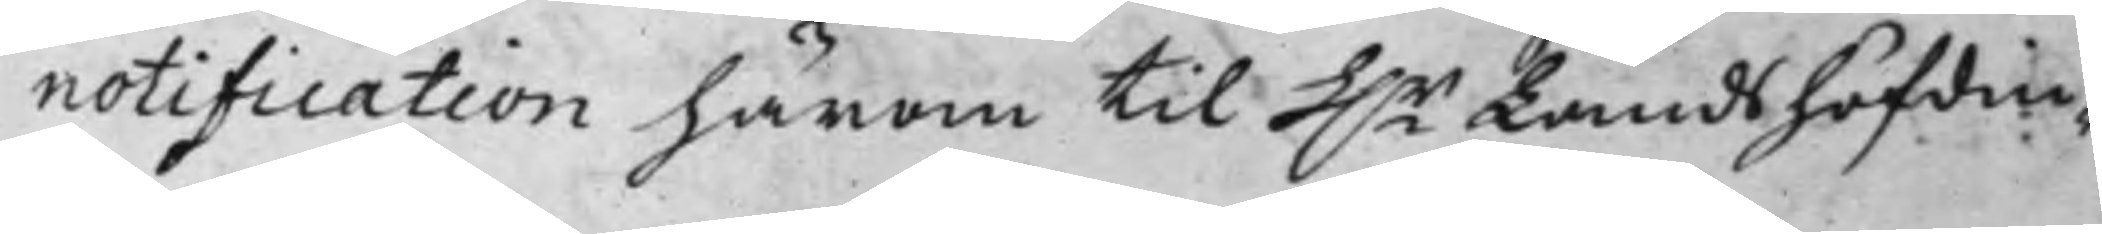notification härom til h.r Landshöfdin¬
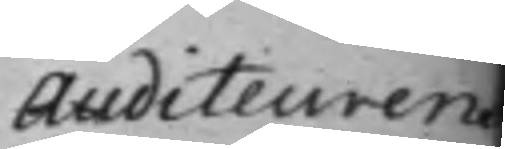Auditeuren
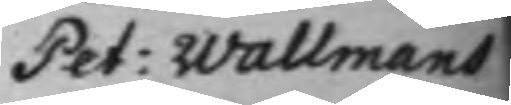Pet: Wallmans
